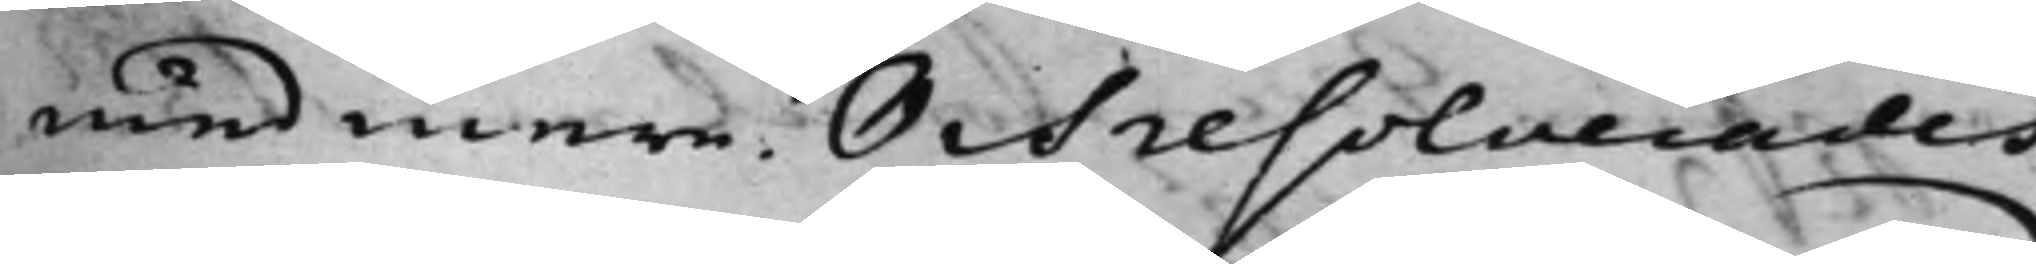med mera. Och resolverades
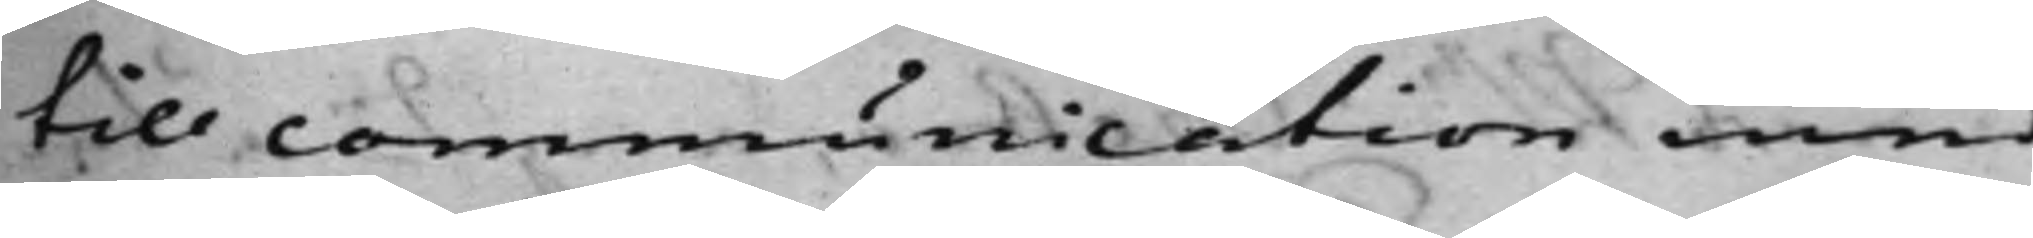till communication med
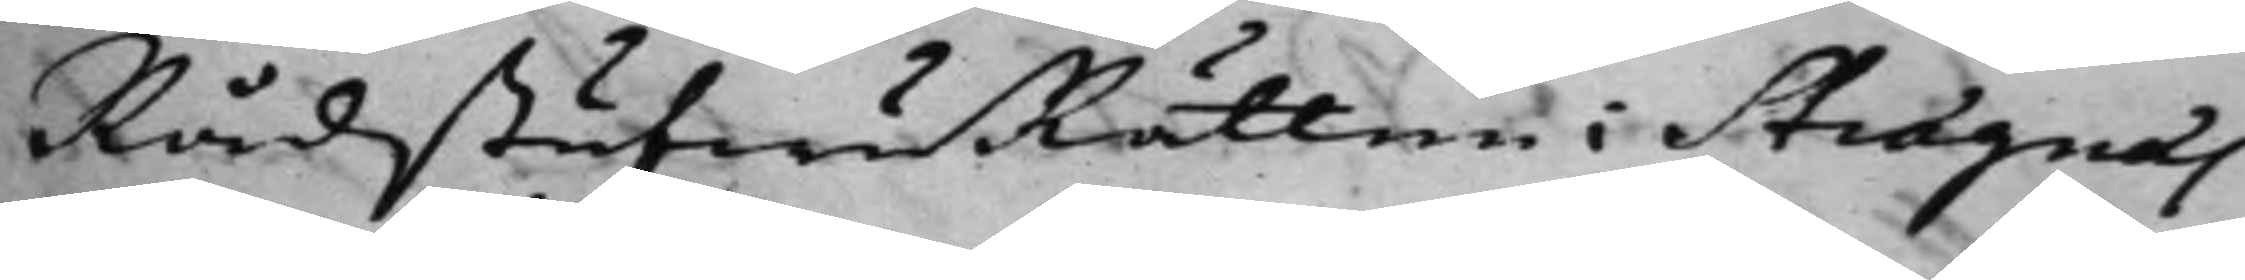RådstufwuRätten i Strägnäs
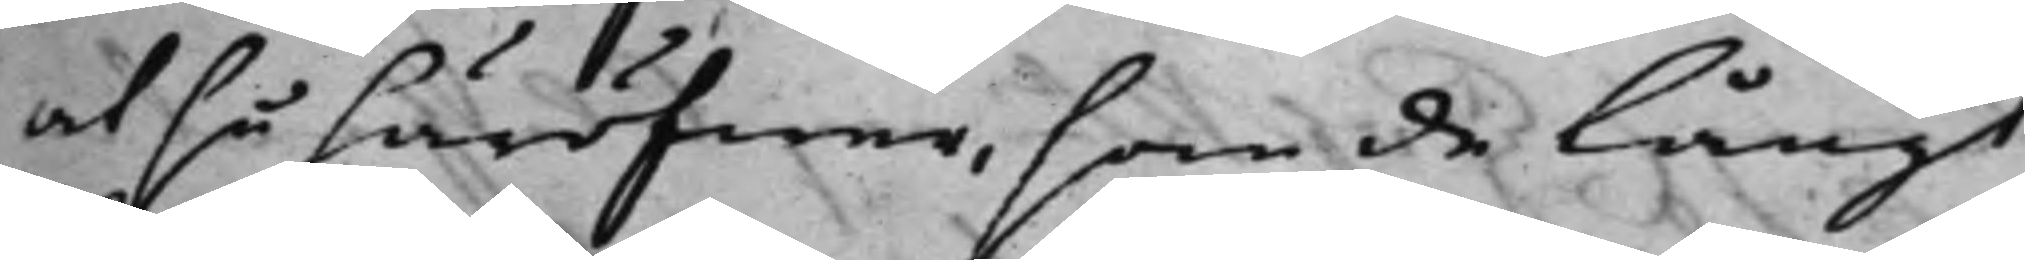at så häröfwer, som de långt
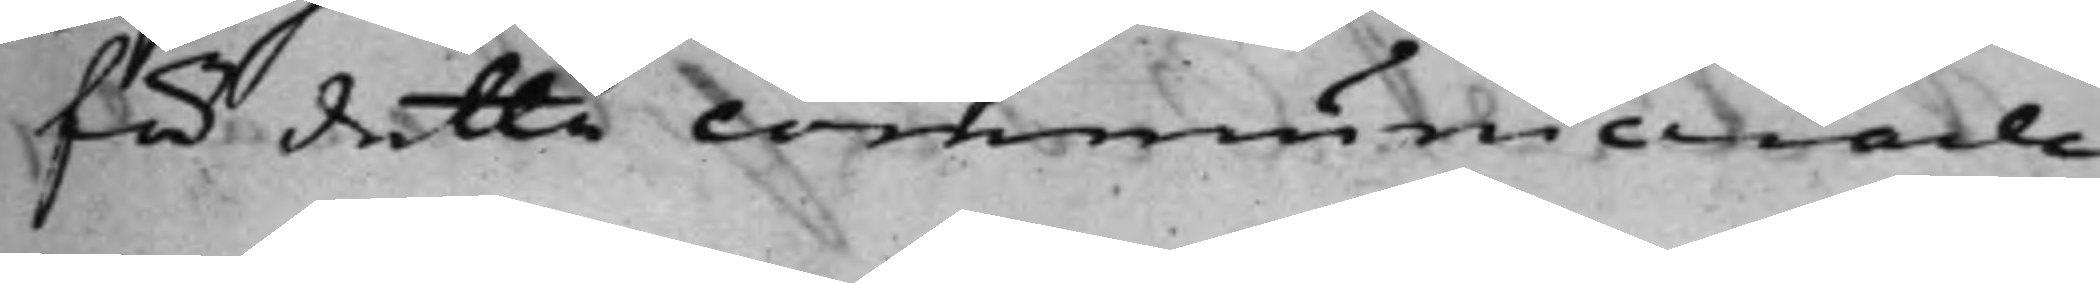för detta communicerade
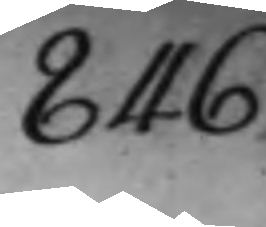846.
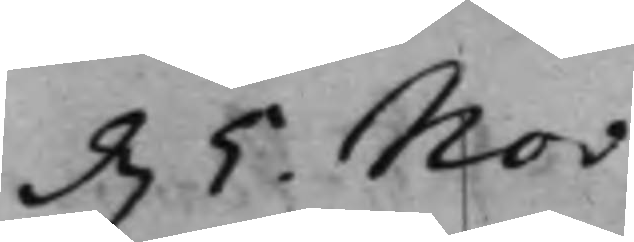d. 5. Nov:
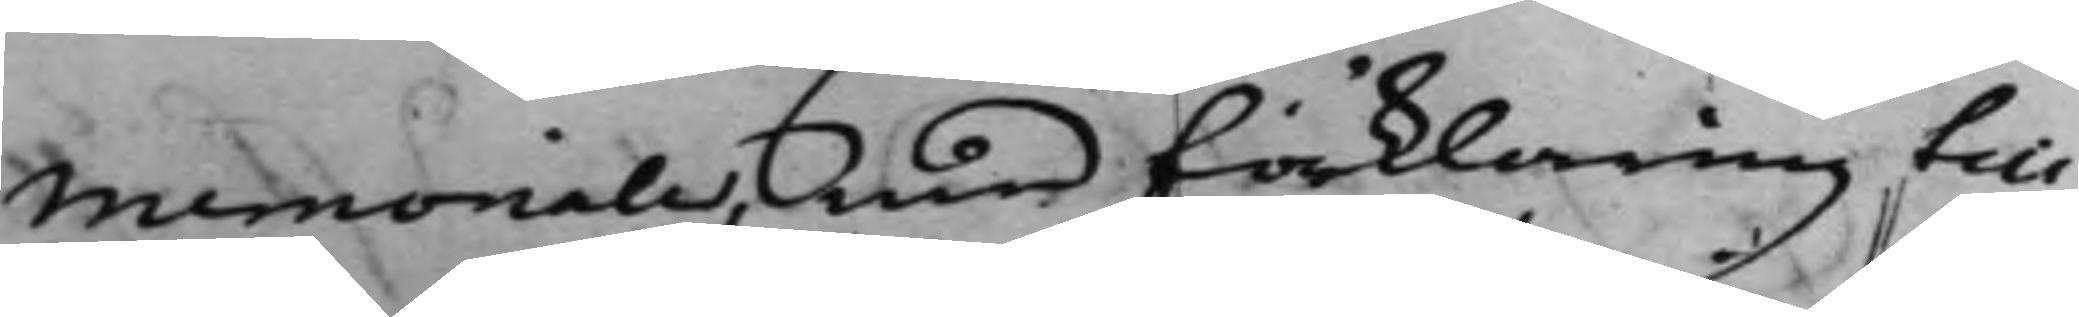Memoriale, Med förklaring, till
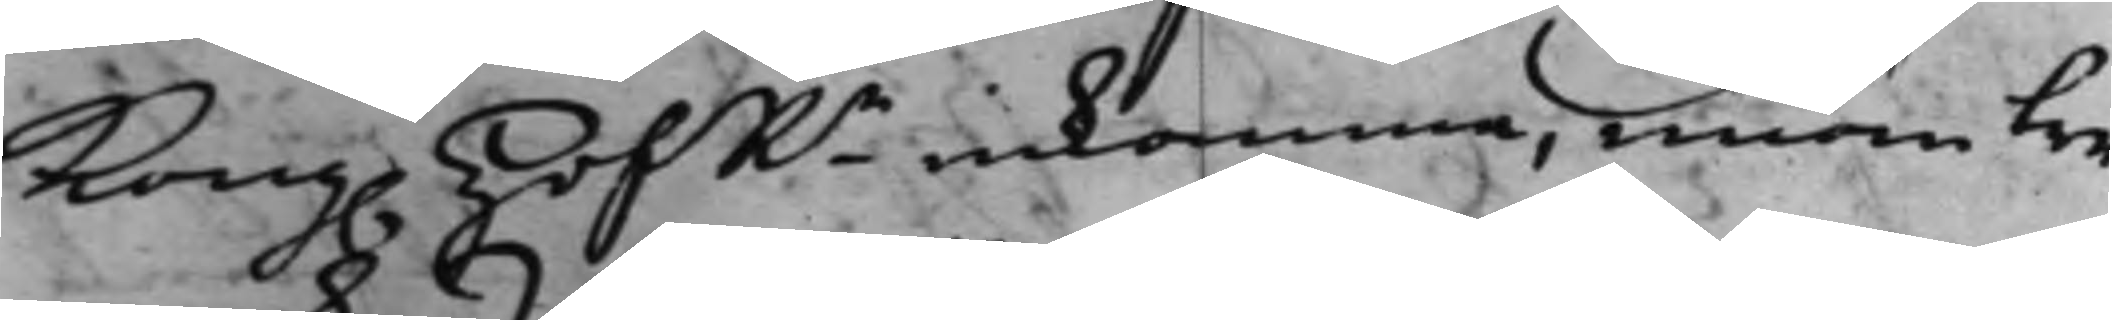Kong. HofRn inkomma, innom tre
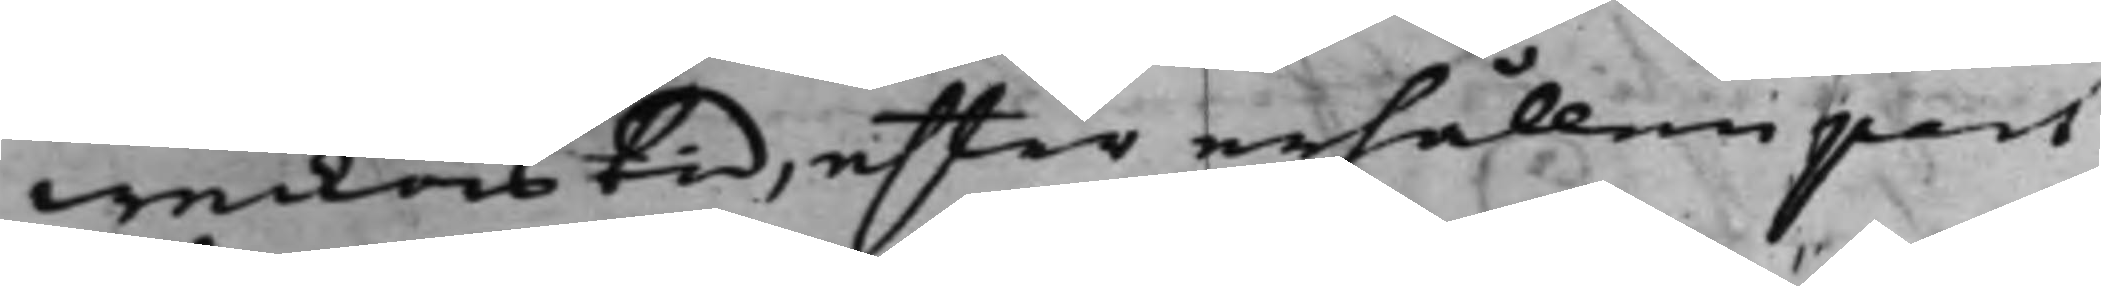weckors tid, efter erhållen part
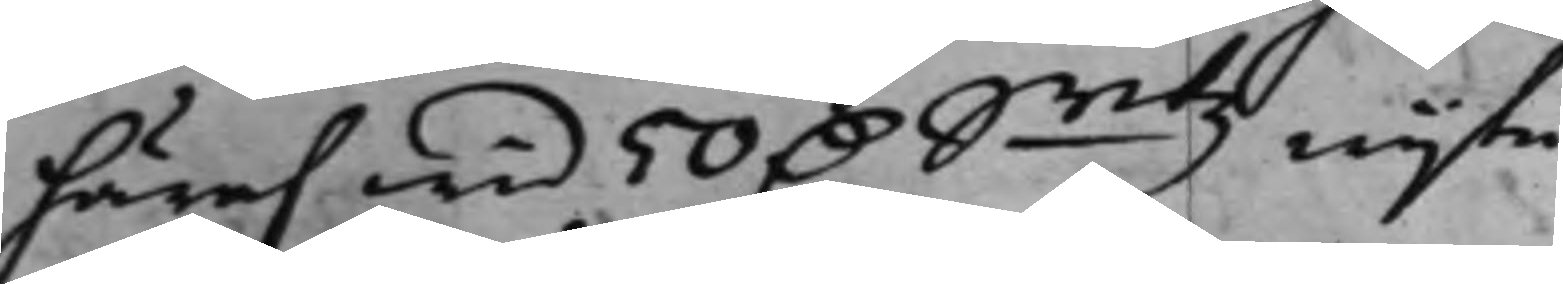häraf wid 50 D. Smtz wijte.
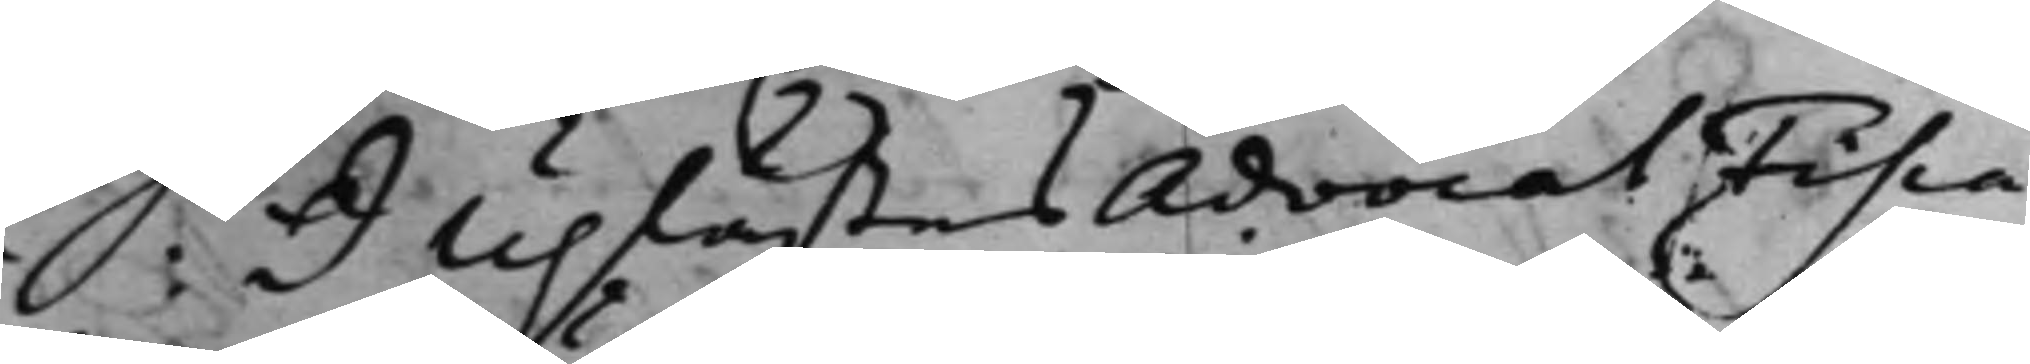S: d Uplästes AdvocatFisca¬
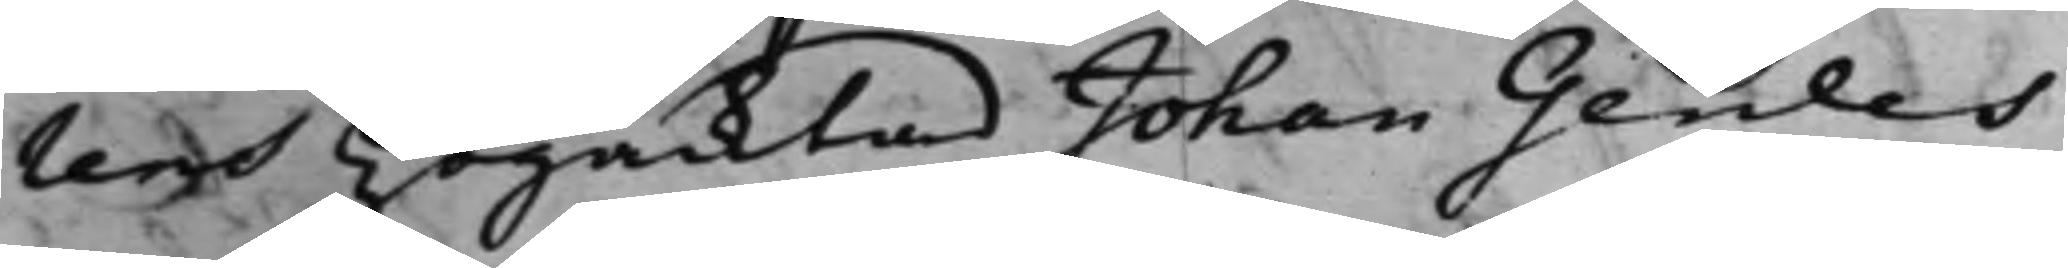lens Högacktad Johan Gerdes
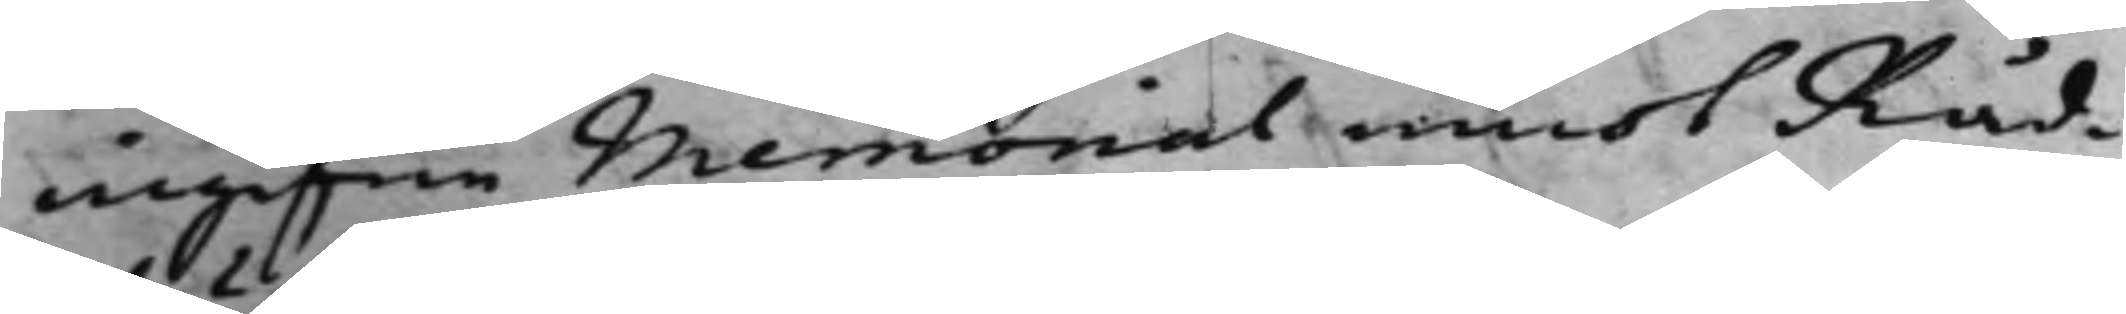ingifne Memorial emot Råd¬
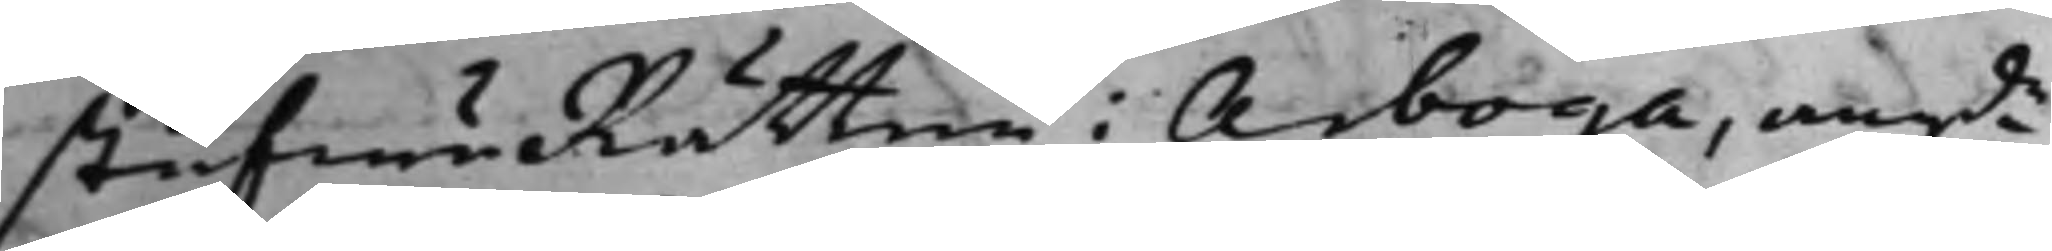stufwuRätten i Arboga, angde
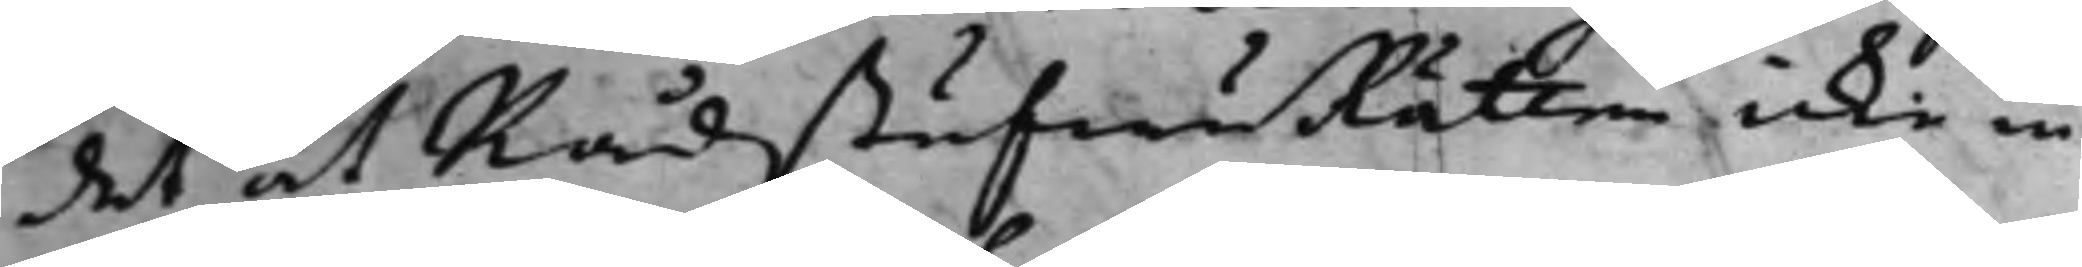det at RådstufwuRätten icke in
